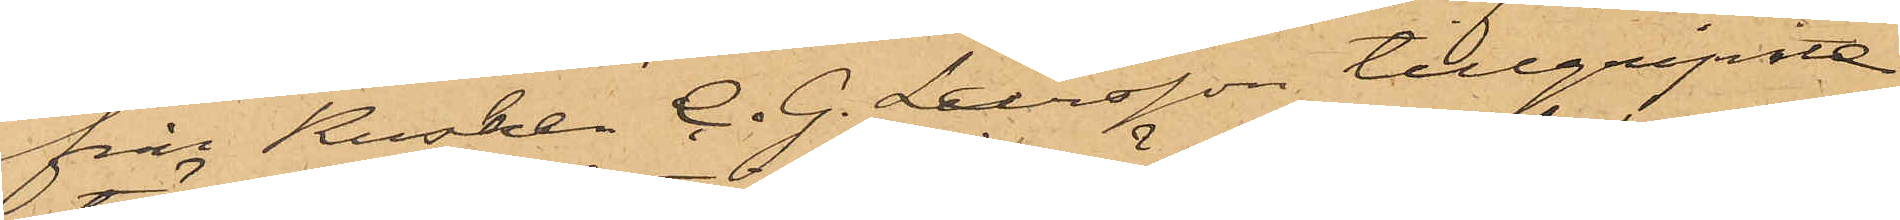från Kusken C. G. Larsson tillgripne
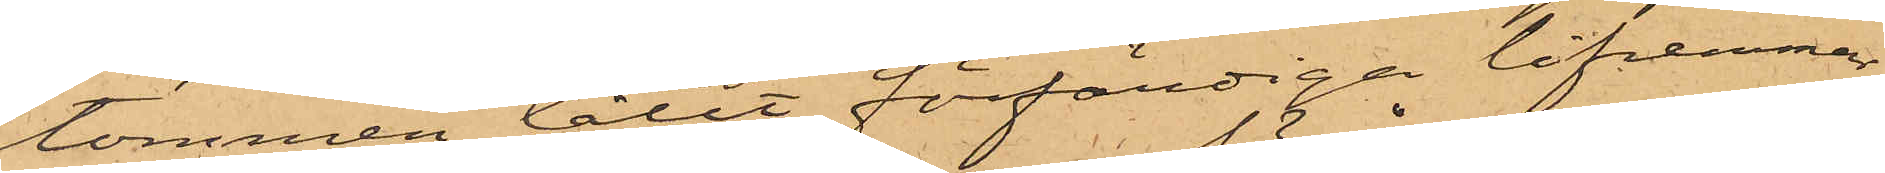tömmen låtit förfärdiga lifremmar,
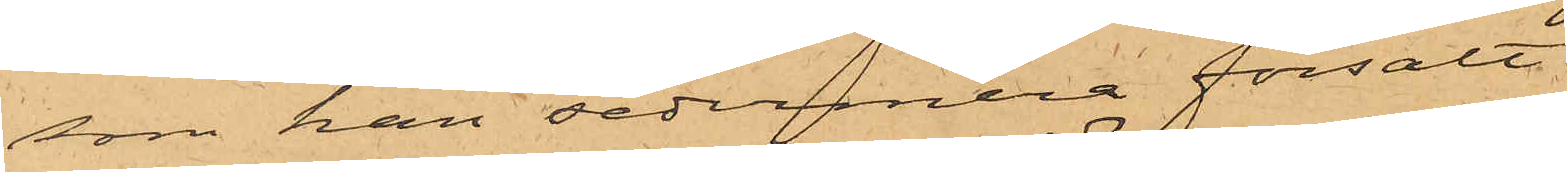som han sedermera försålt.
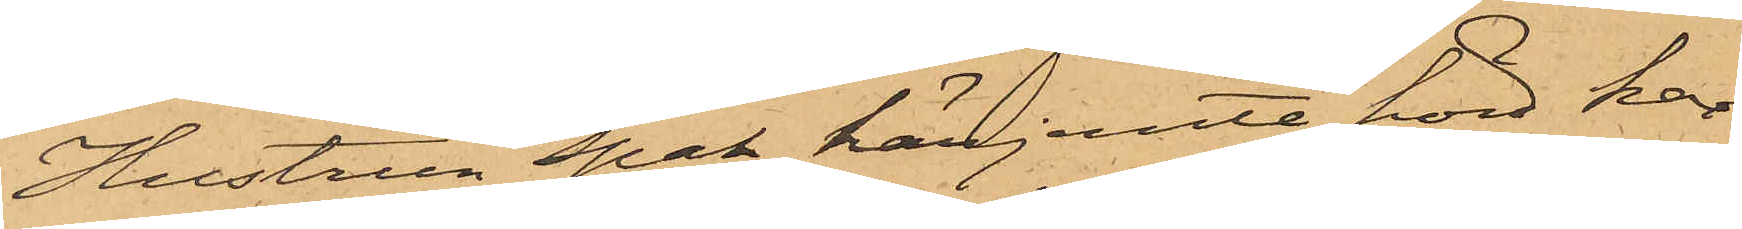Hustrun Spak härjemte hörd har
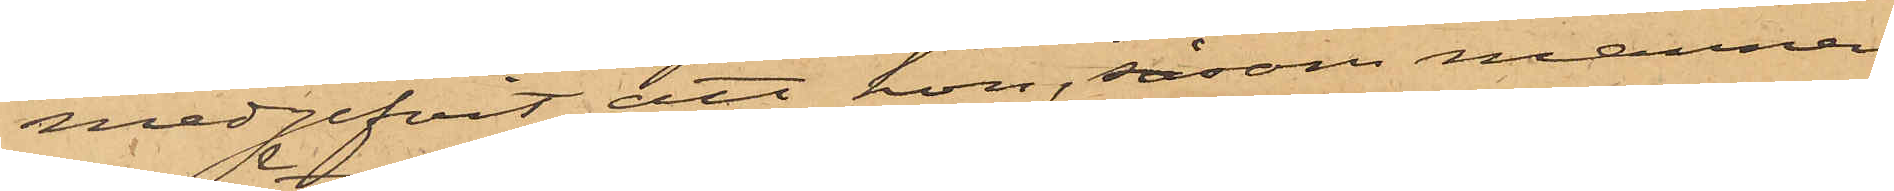medgifvit att hon, såsom mannen
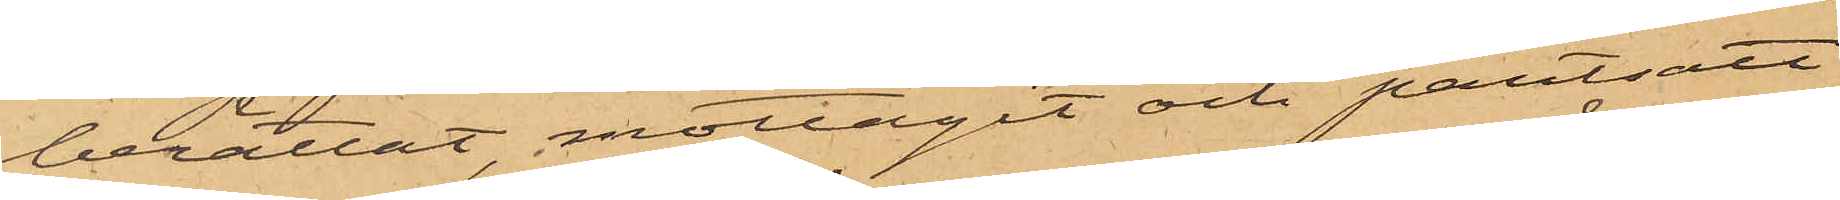berättat, mottagit och pantsatt
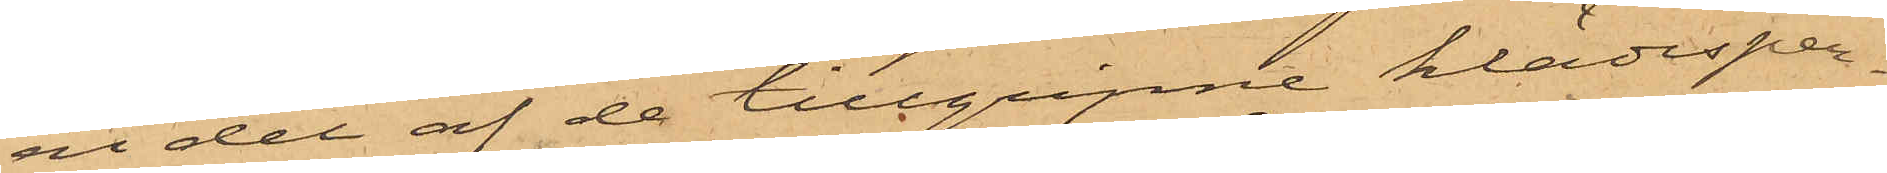en del af de tillgripne klädesper¬
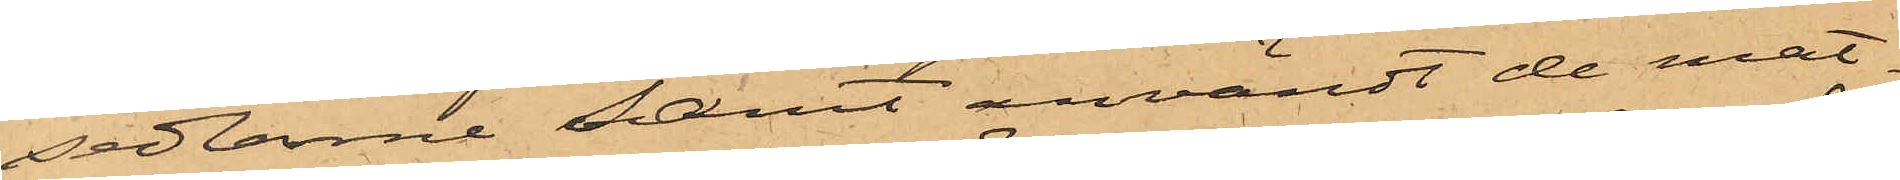sedlarne samt användt de mat¬
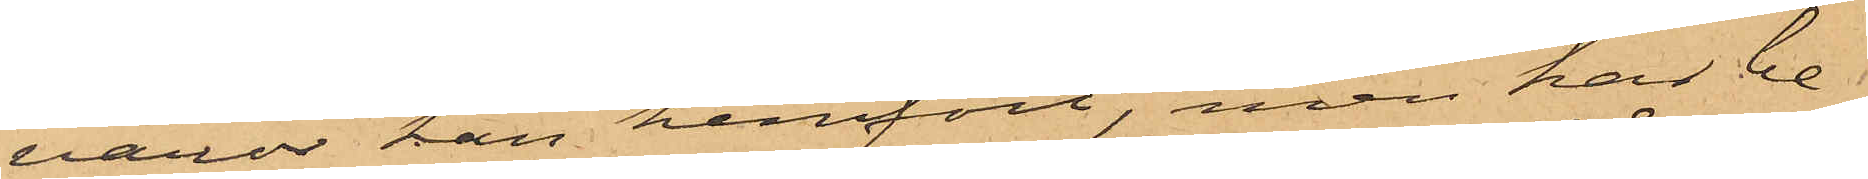varor han hemfört, men har be¬
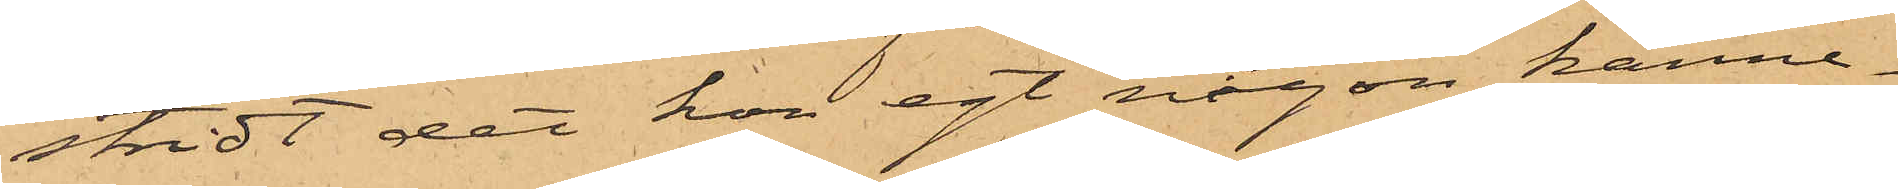stridt det hon egt någon känne¬
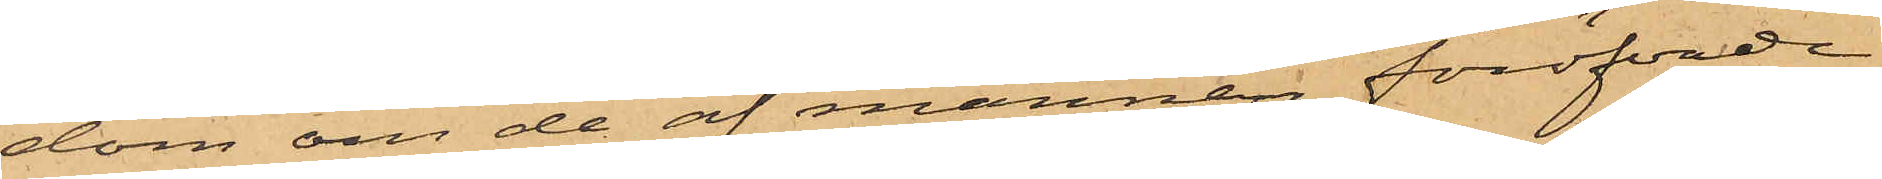dom om de af mannen föröfvade
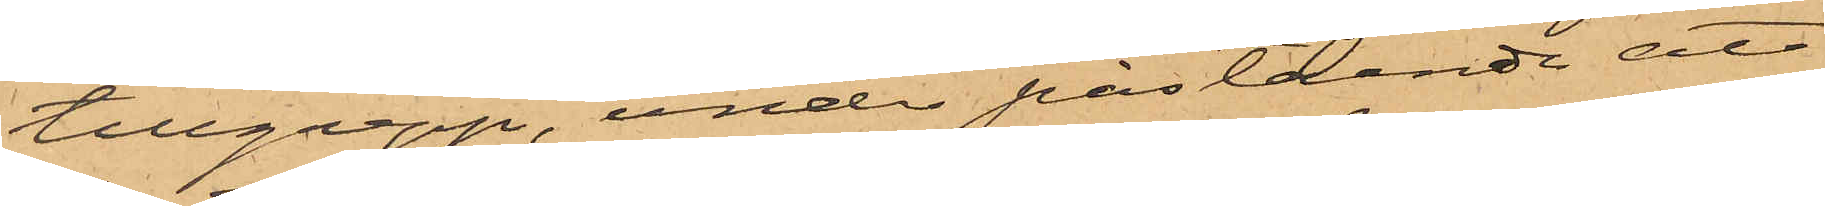tillgrepp, under påstående att
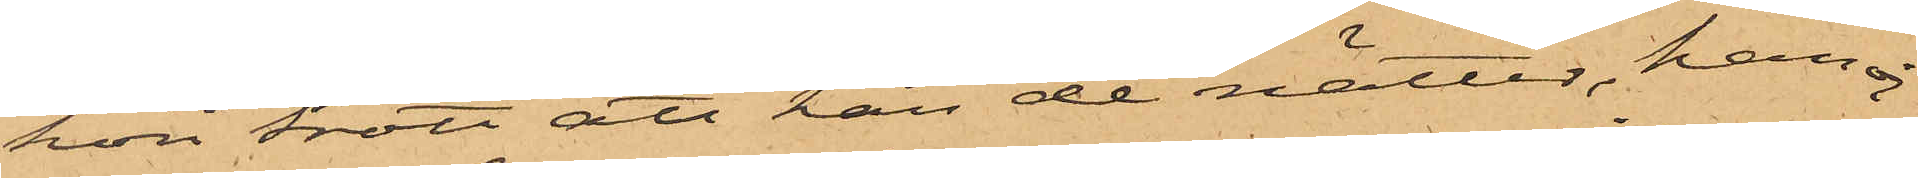hon trott att han de nätter, han ej
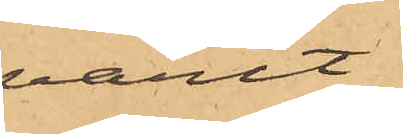varit
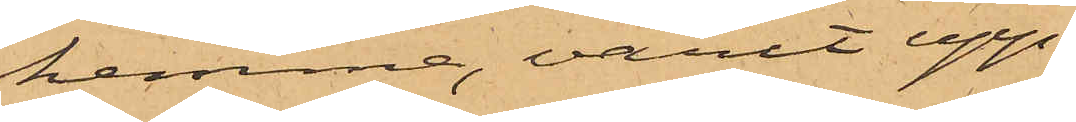hemma, varit upp¬
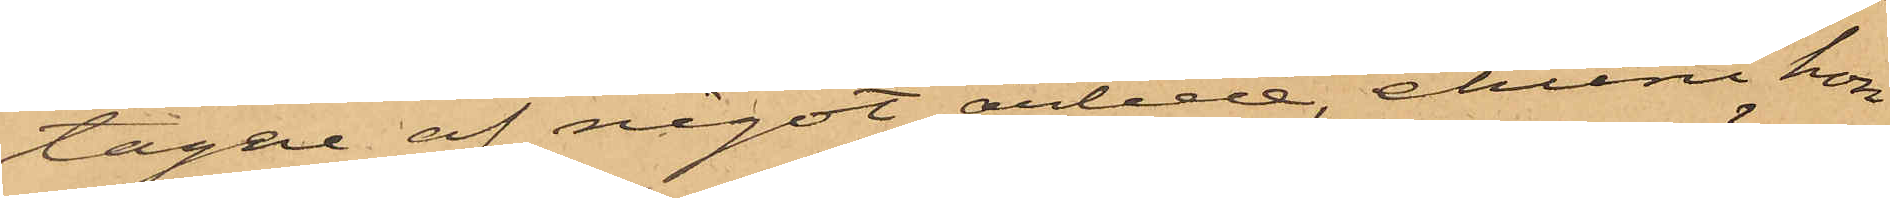tagen af något arbete, ehuru hon
